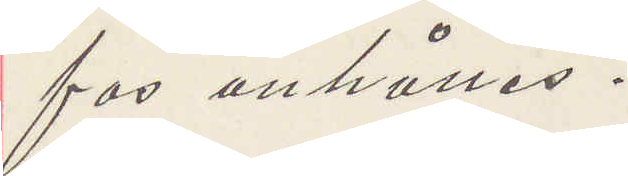fas anhålles.
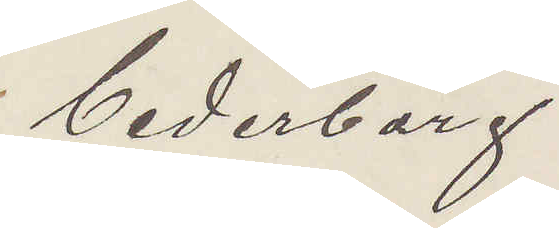Cederborg
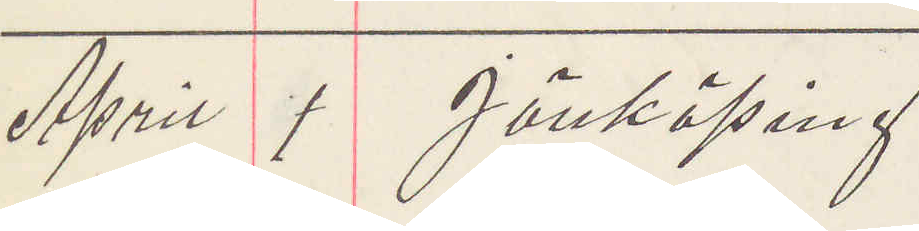April 1 Jönköping
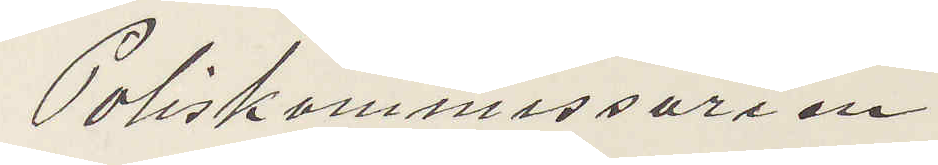Poliskommissarien
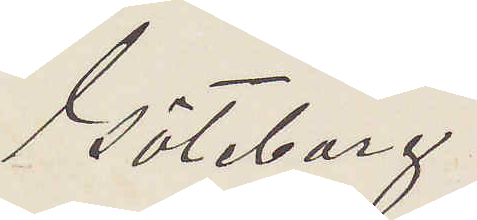Göteborg
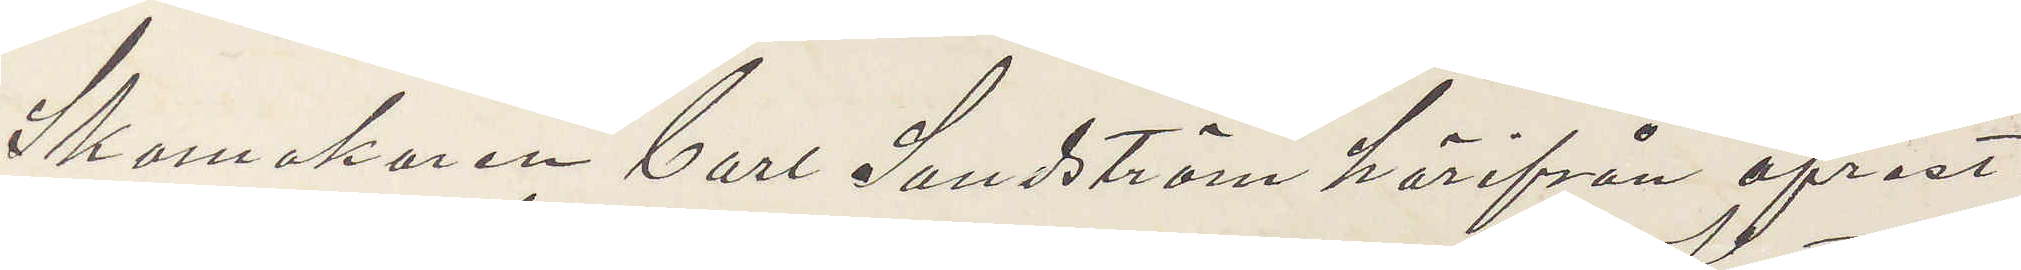Skomakaren Carl Sandström härifrån afrest
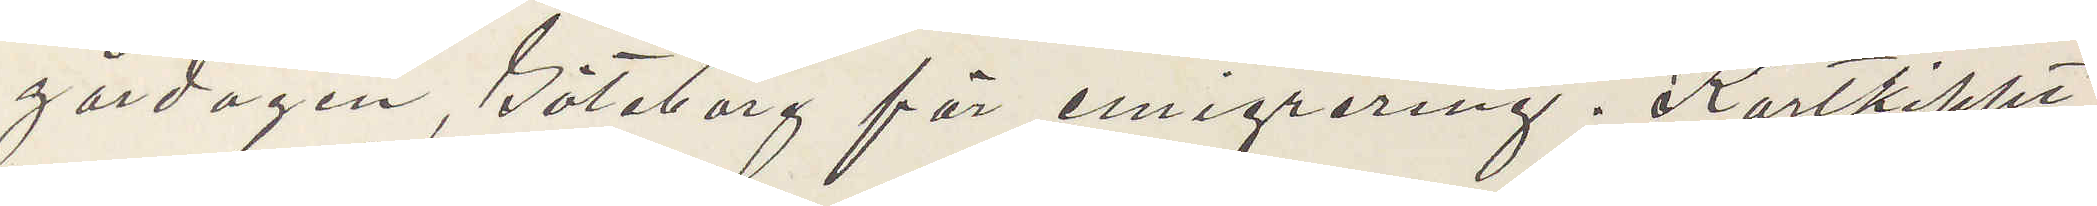gårdagen, Göteborg för emigrering, Kortklippt
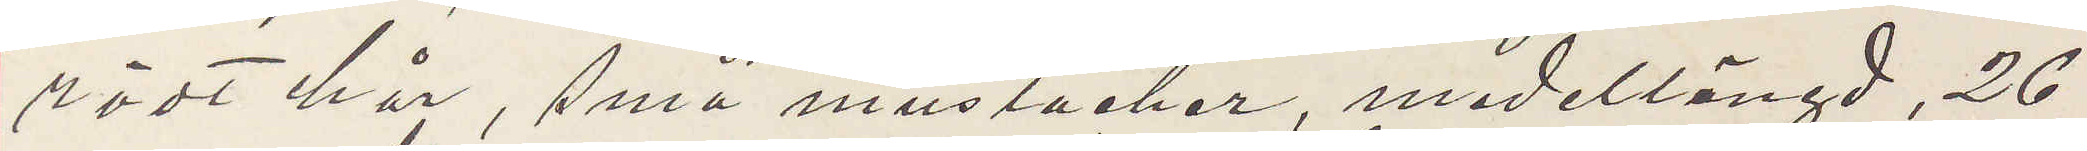rödt här, små mustacher, medellängd, 26
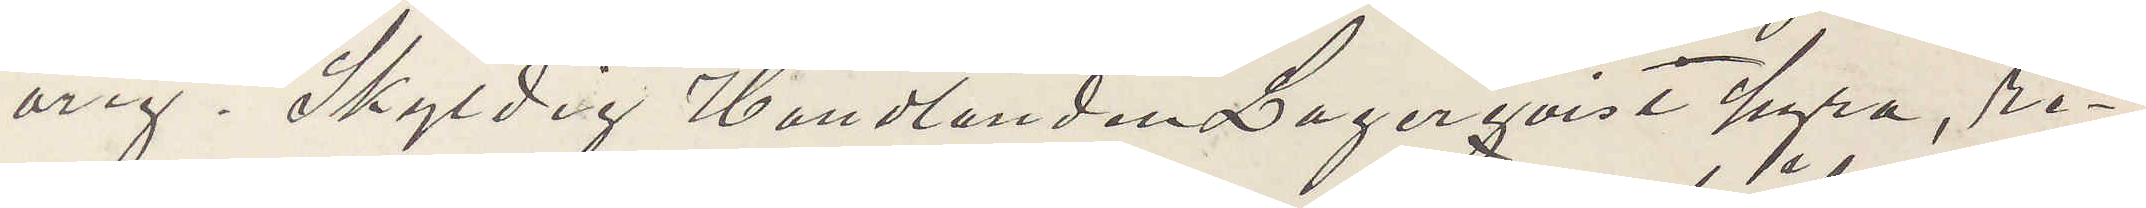årig. Skyldig Handlanden Lagerqvist hyra, re¬
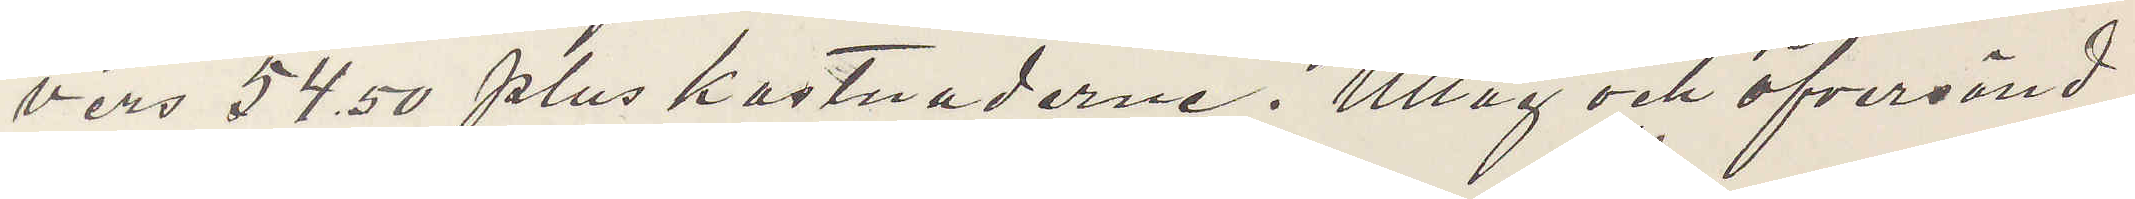vers 54,50 plus kostnaderne. Uttag och öfversänd
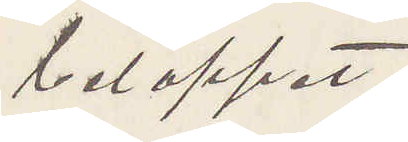beloppet.
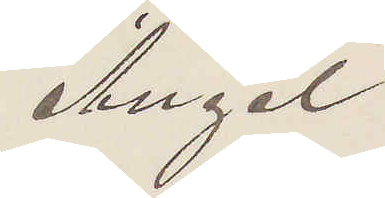Angel
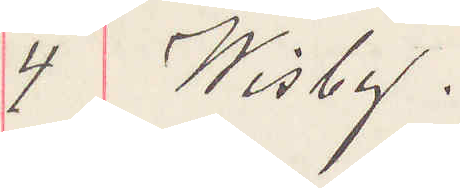4 Wisby.
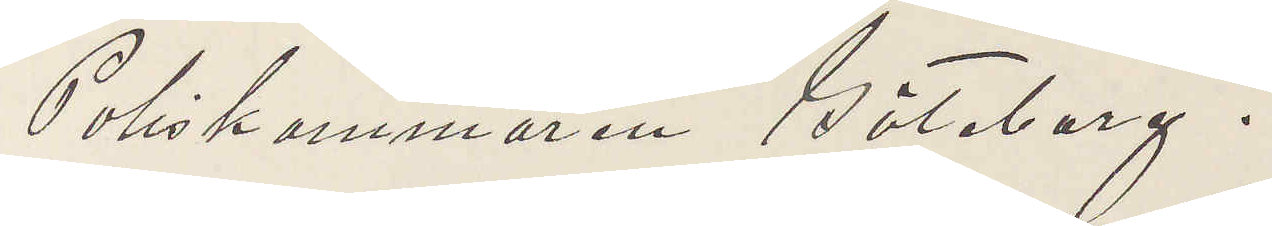Poliskammaren Göteborg.
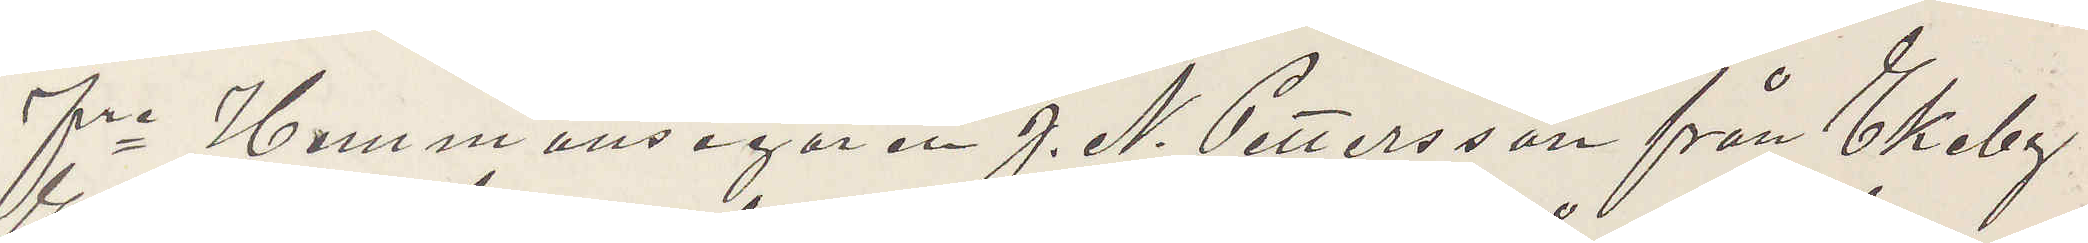Fre Hemmansegaren J. N. Pettersson från Ekeby
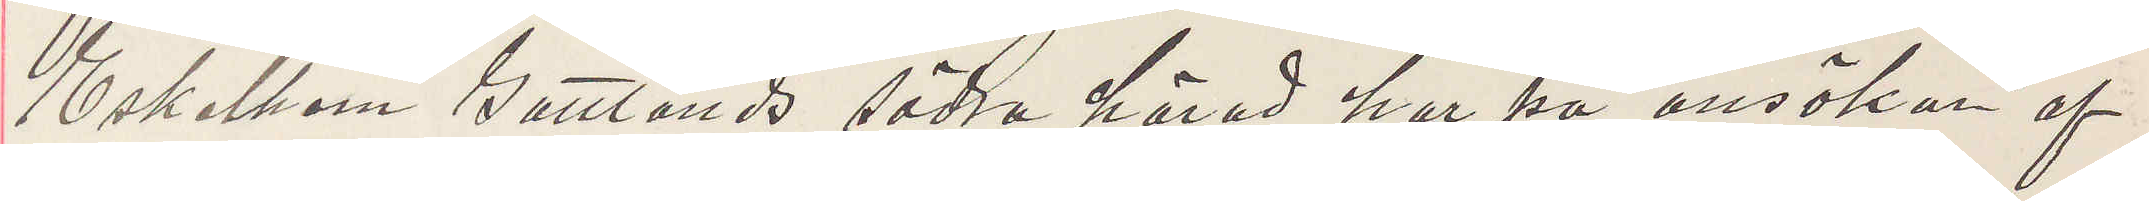Eskelhem Gottlands södra härad har på ansökan af
